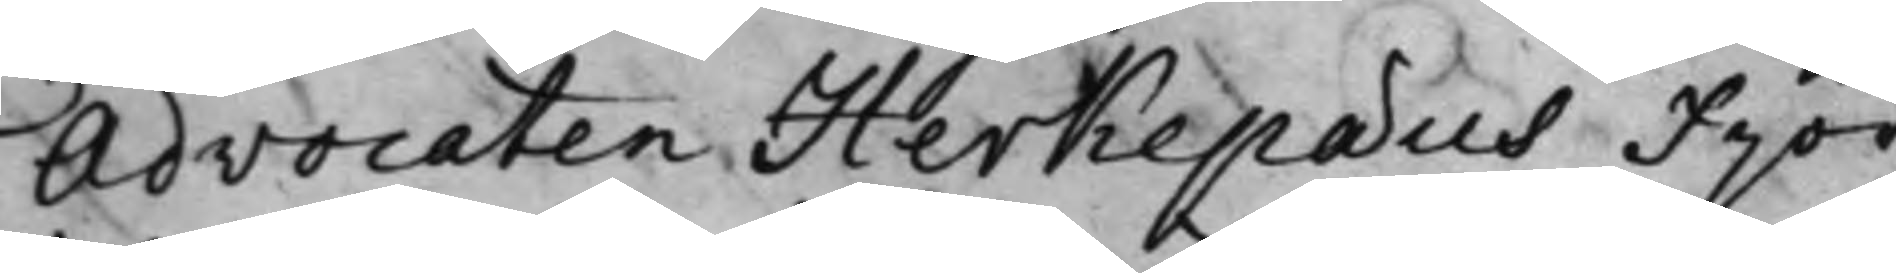Advocaten Herkepaeus Fjor¬
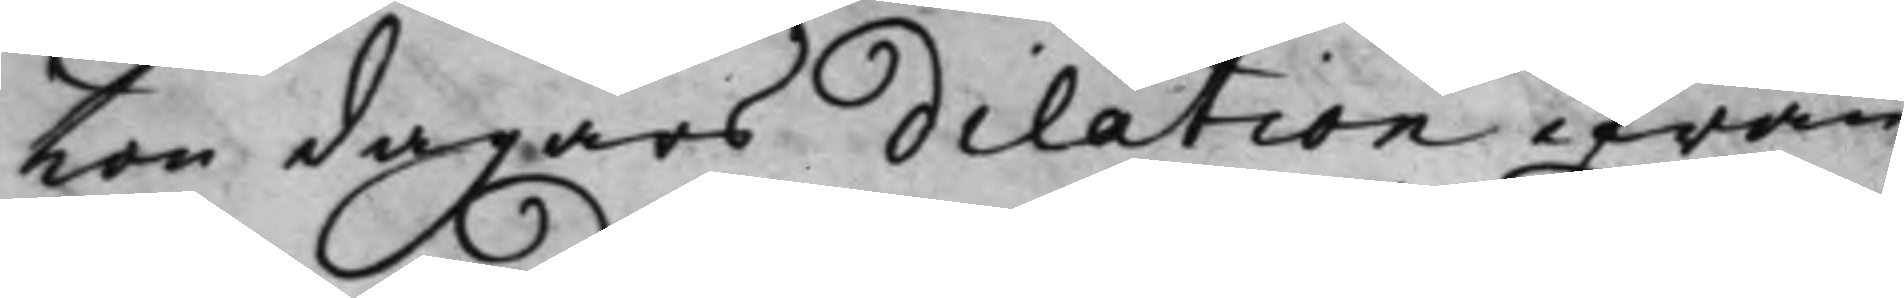ton dagars dilation ifrån
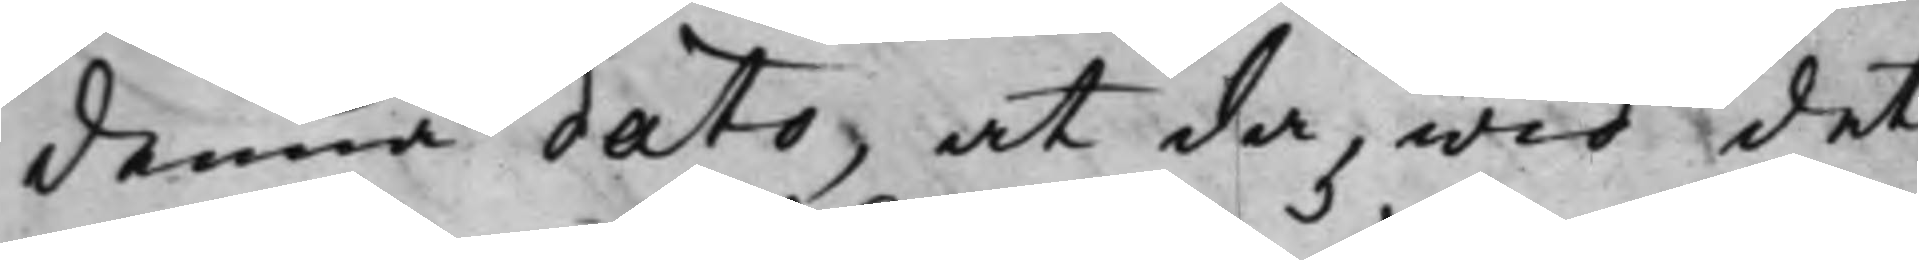Denna dato, at då, wid det
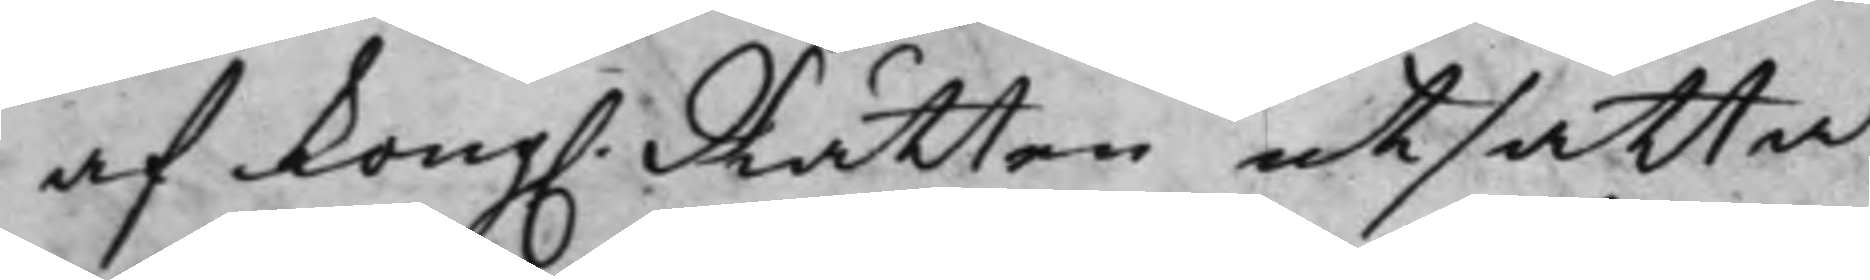af Kong. Rätten utsatta
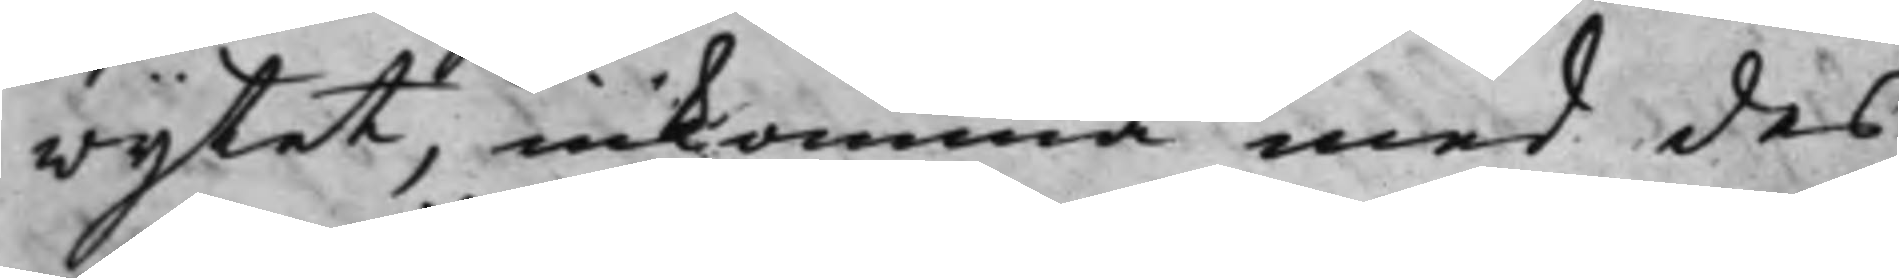wijtet, inkomma med des
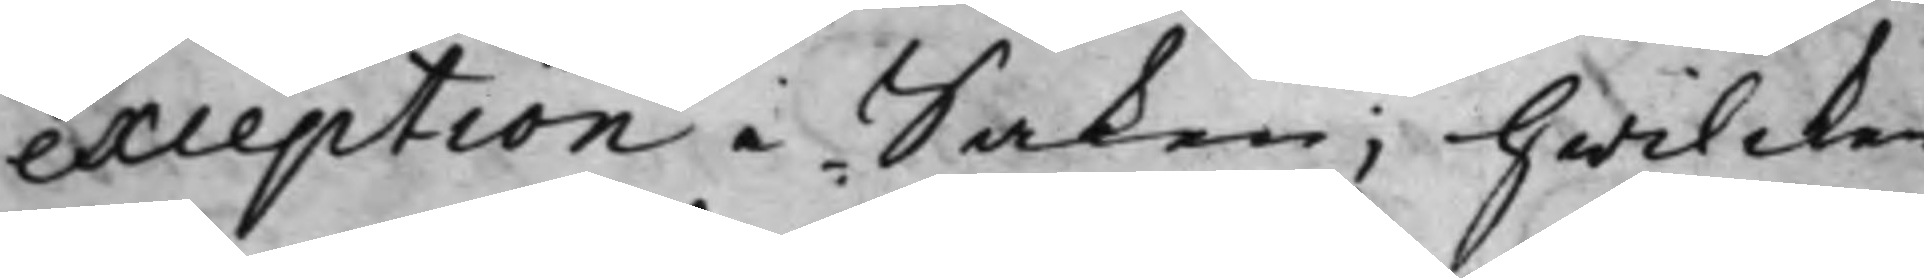exception i Saken; Hwilcken
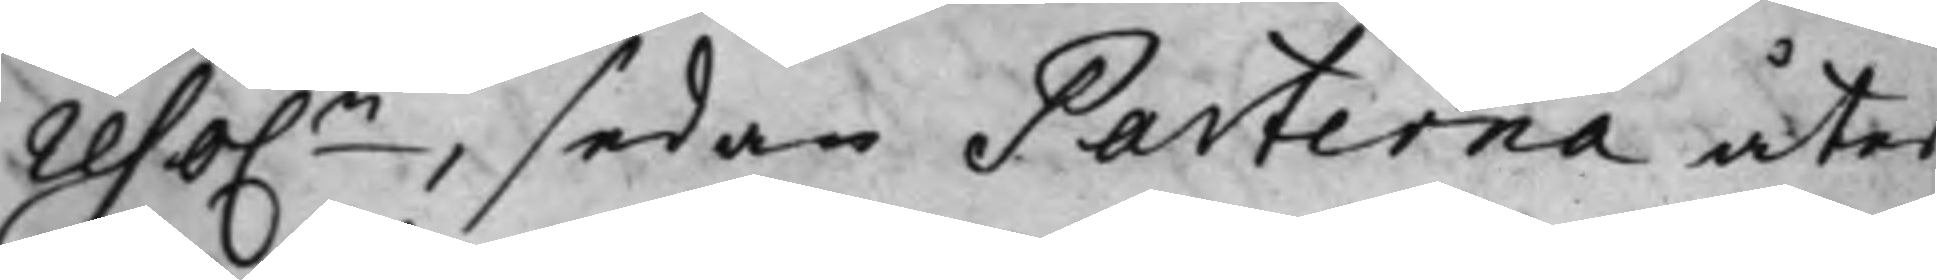reso.n, sedan Parterna åter
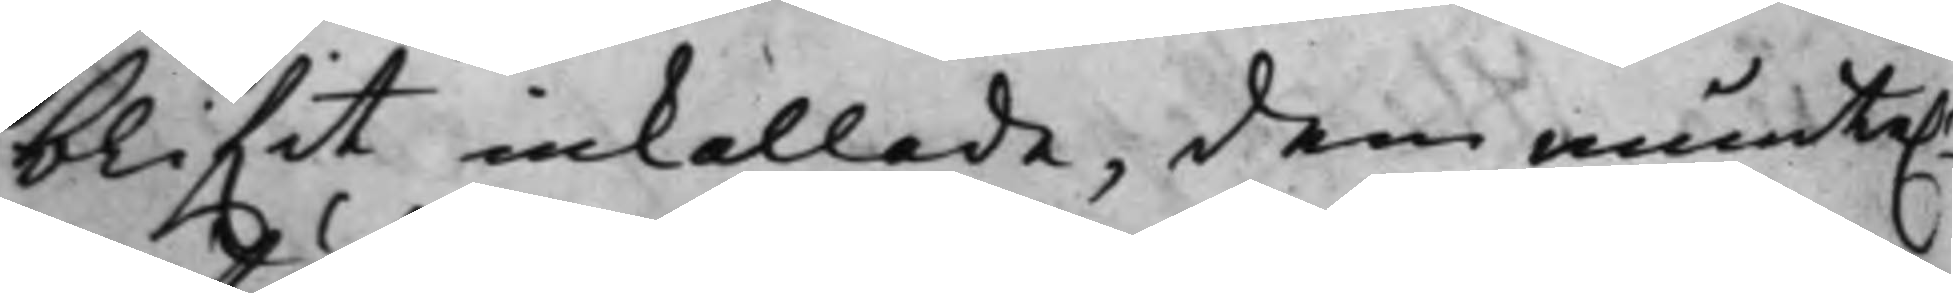blif.it inkallade, dem munte.n
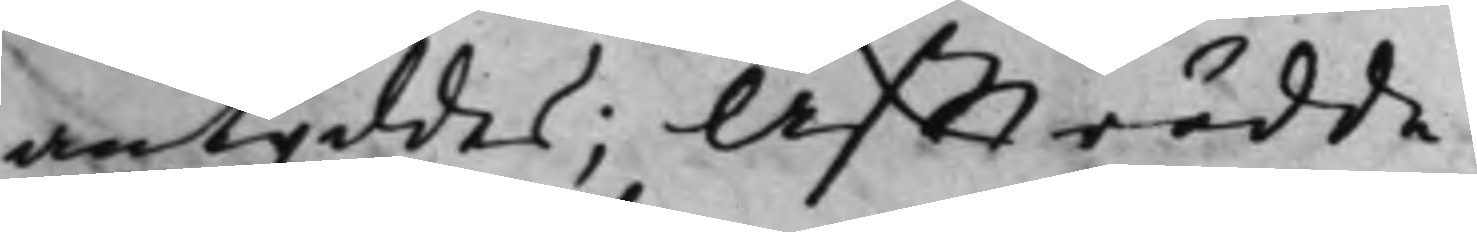antyddes; Affträdde.
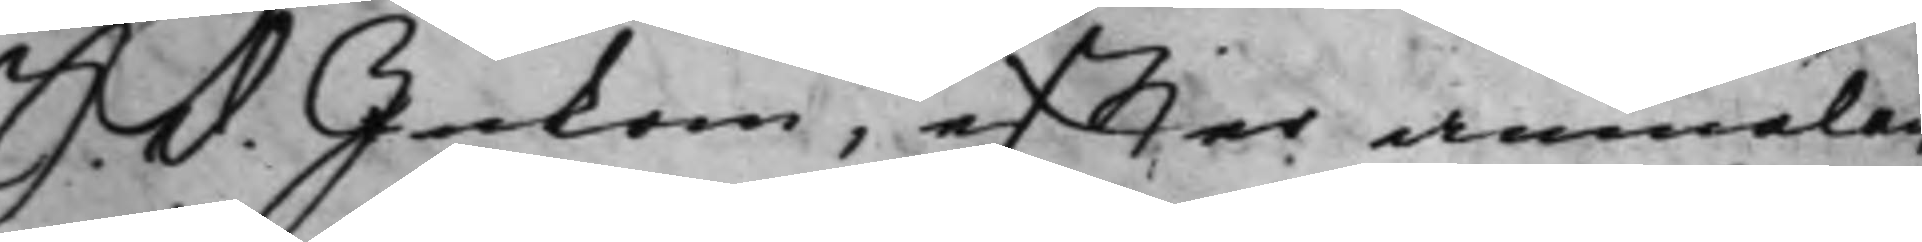S. d. Inkom, effter anmälan
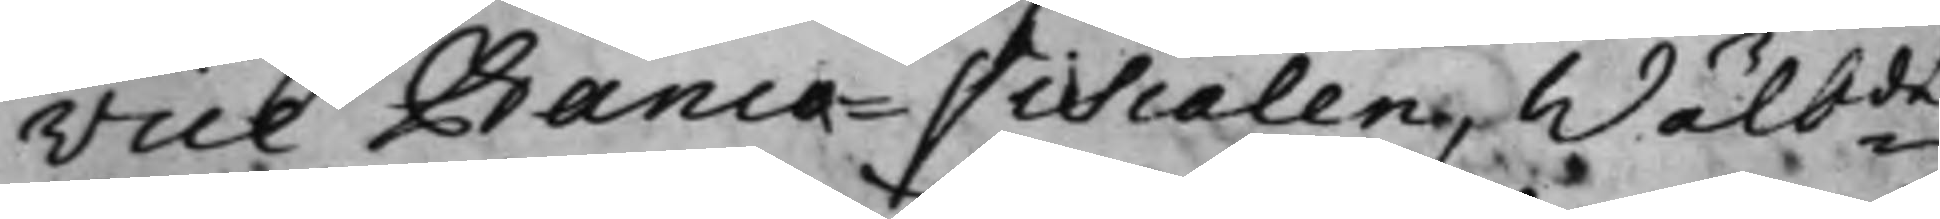Vice Banco-Fiscalen, Wälb.de
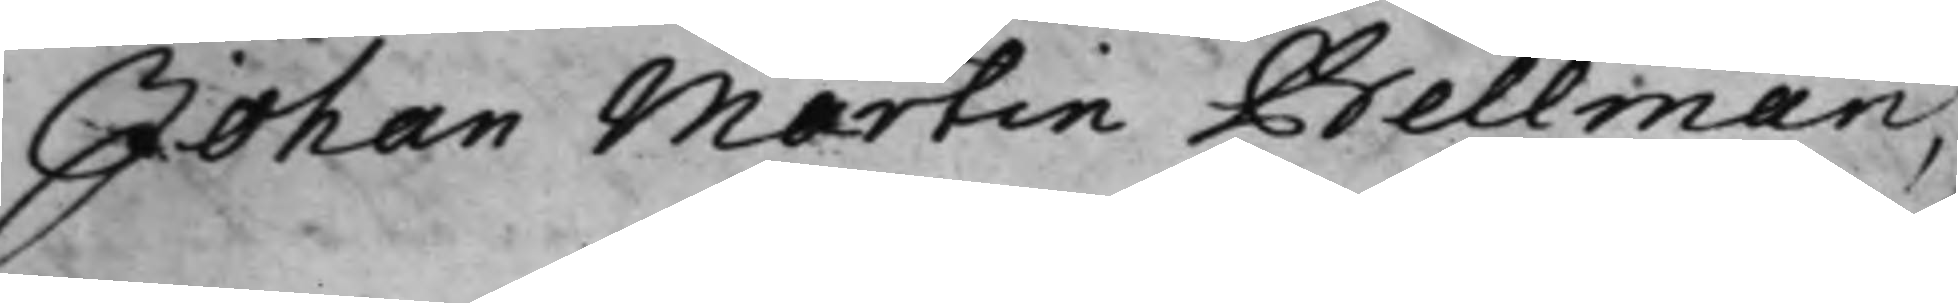Johan Martin Bellman,
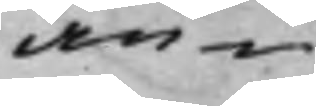an¬
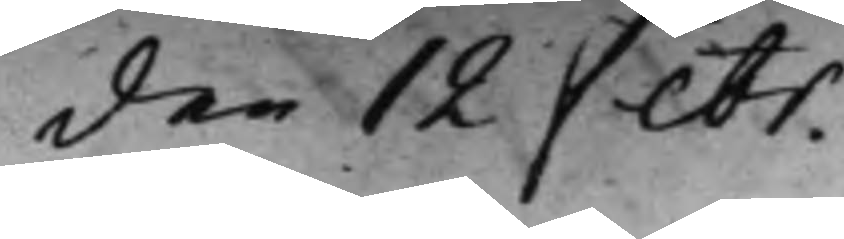den 12 Febr.
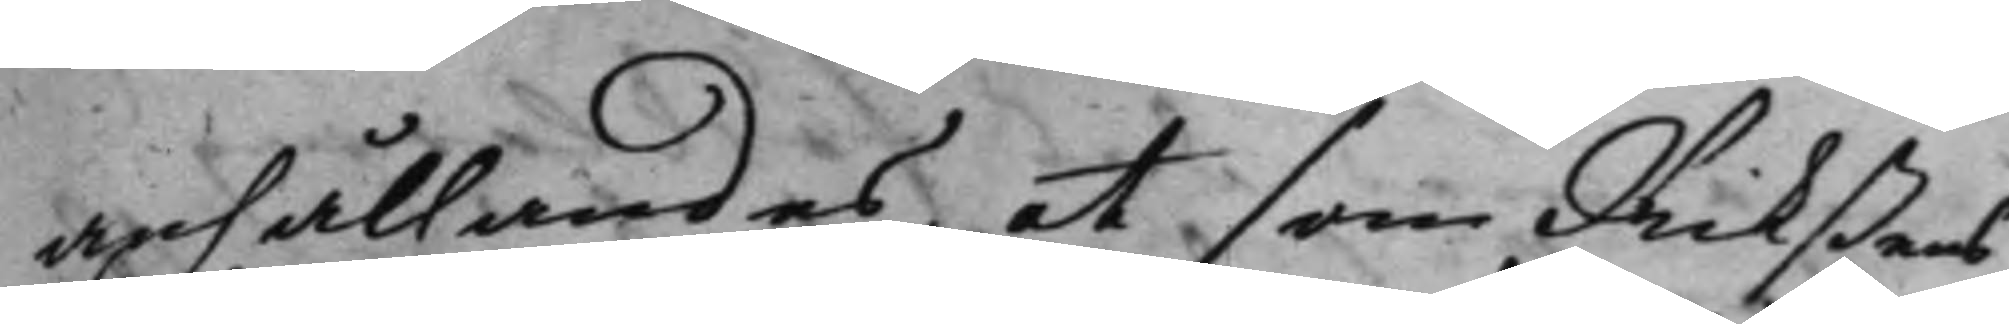anhållandes, at som Rikßens
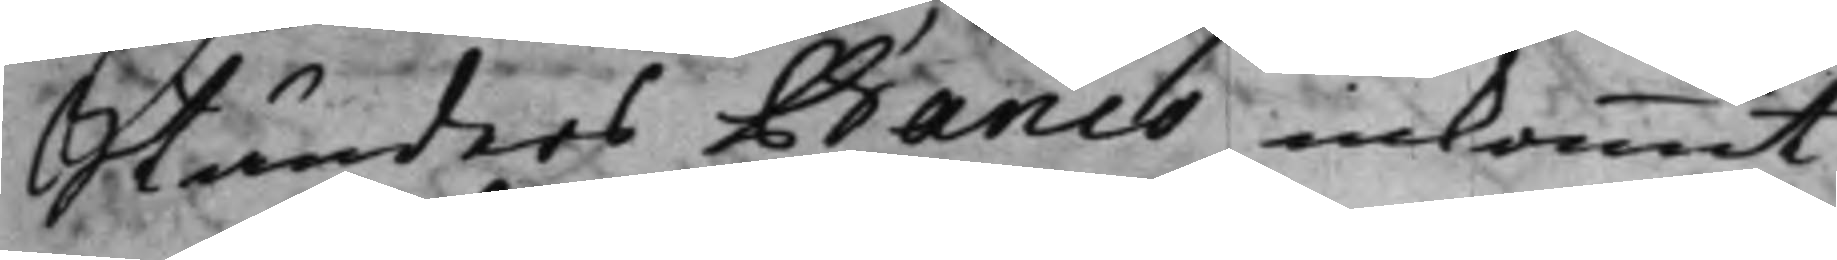Ständers Banco ankommit
